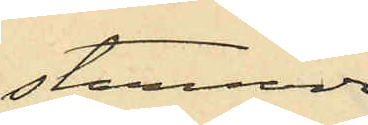stannade
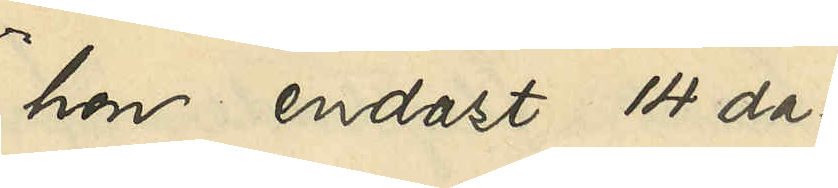hon endast 14 da¬
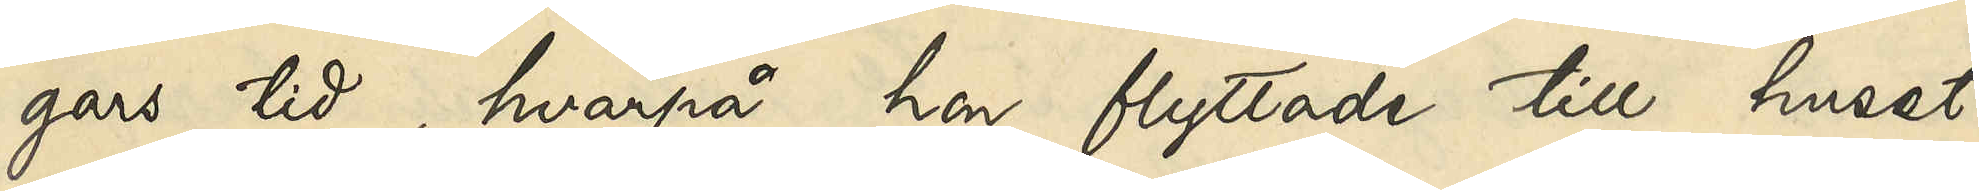gars tid, hvarpå hon flyttade till huset
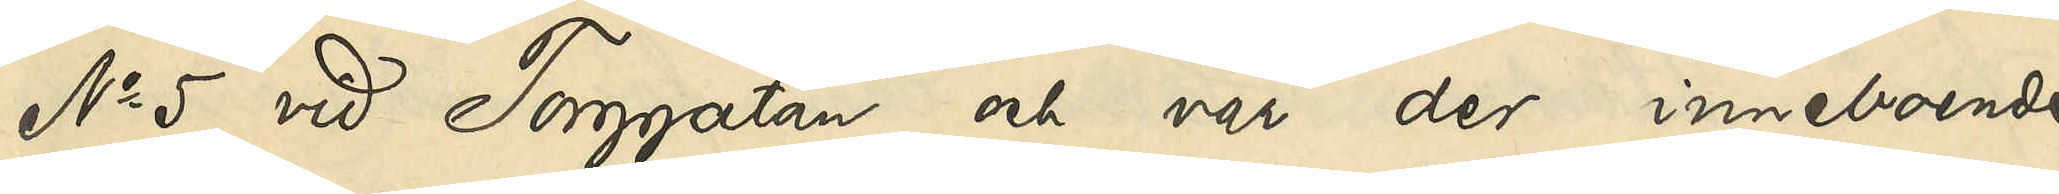No 5 vid Torggatan och var der inneboende
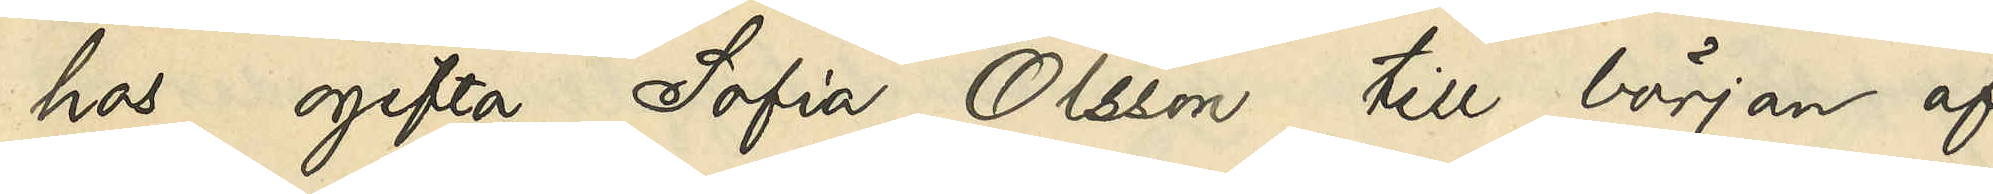hos ogifta Sofia Olsson till början af
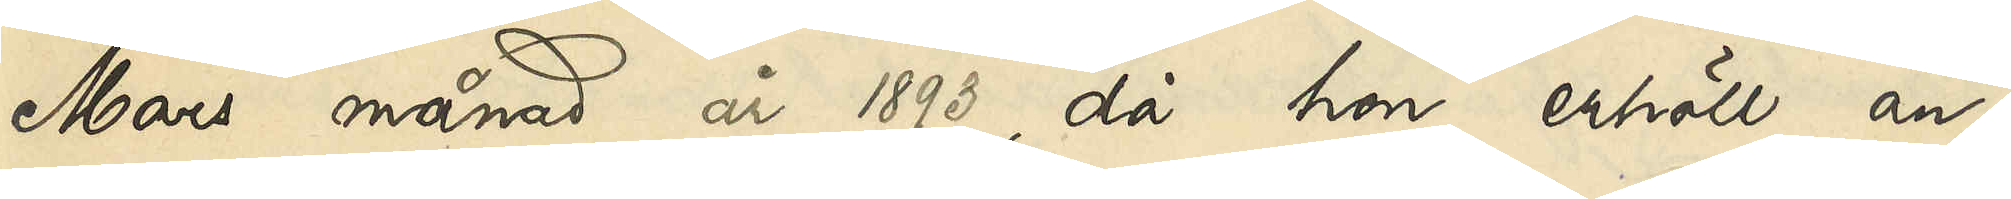Mars månad år 1893, då hon erhöll an¬
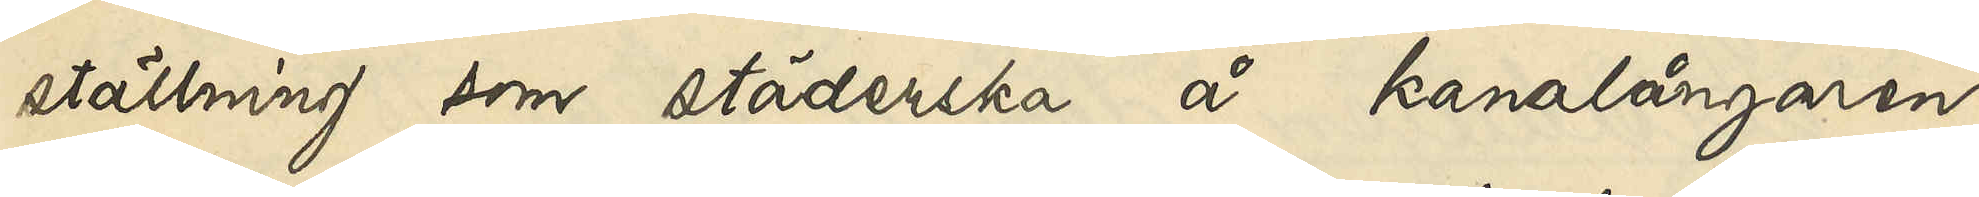ställning som städerska å kanalångaren
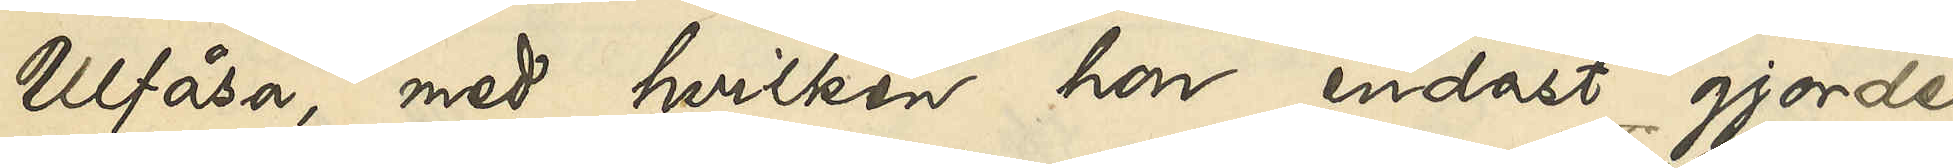Ulfåsa, med hvilken hon endast gjorde
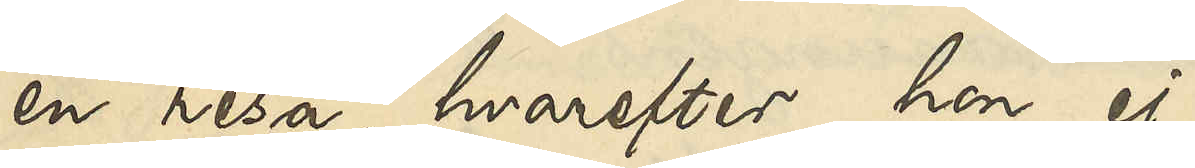en resa, hvarefter hon ej
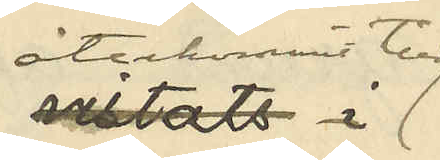återkommit till
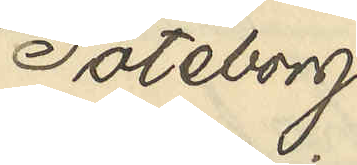Göteborg.
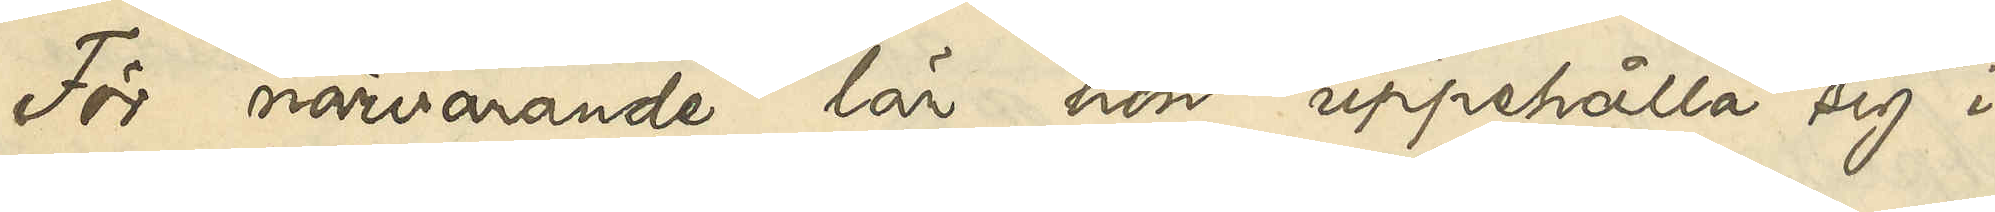För närvarande lär hon uppehålla sig i
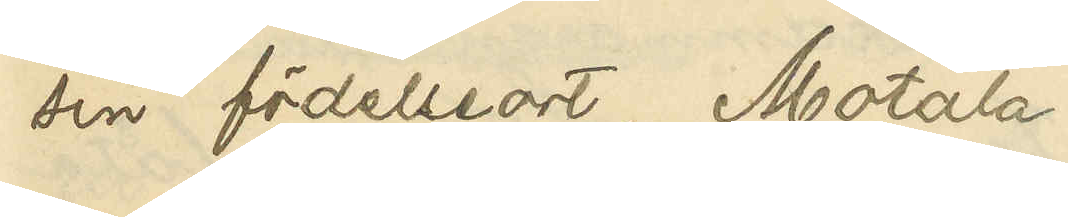sin födelseort, Motala.
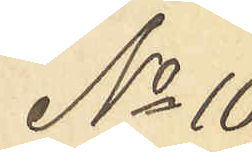No 10
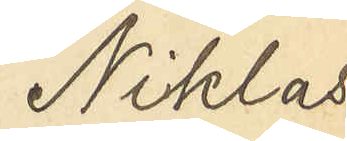Niklas
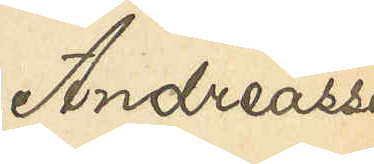Andreasson
